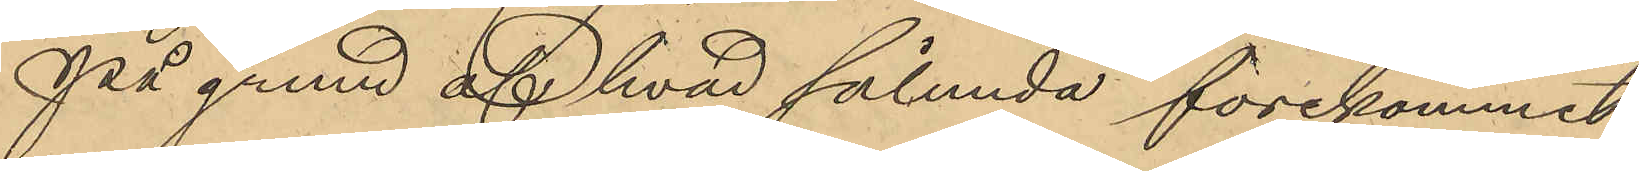På grund af hvad sålunda förekommit
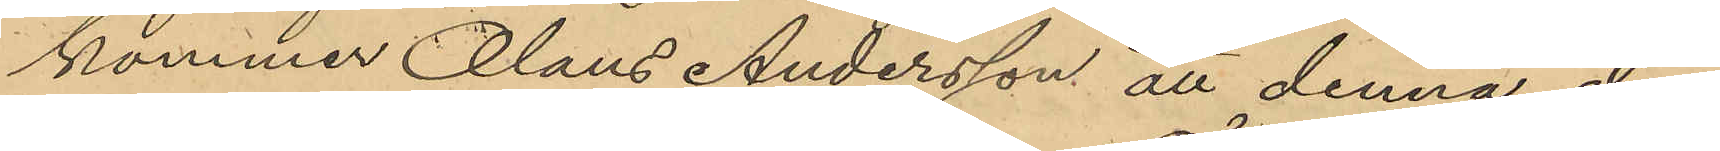kommer Olaus Andersson att denna dag
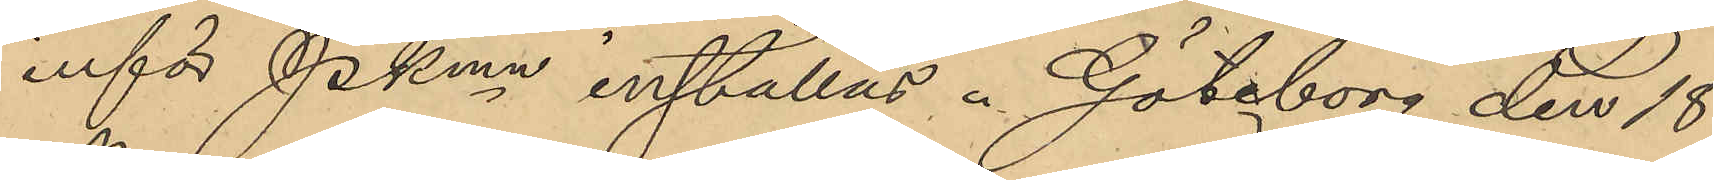inför Pkmn inställas. Göteborg den 18
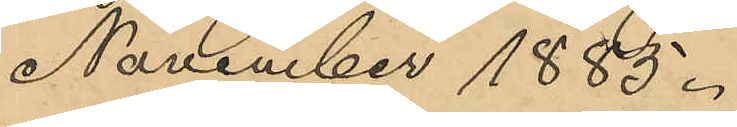November 1885.
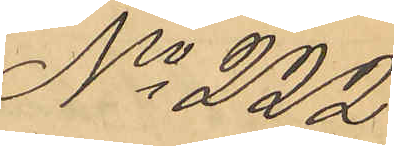No 222
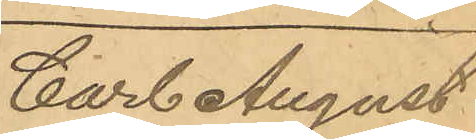Carl August
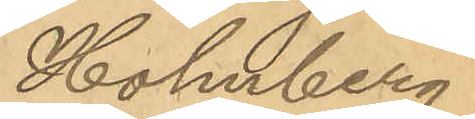Holmberg
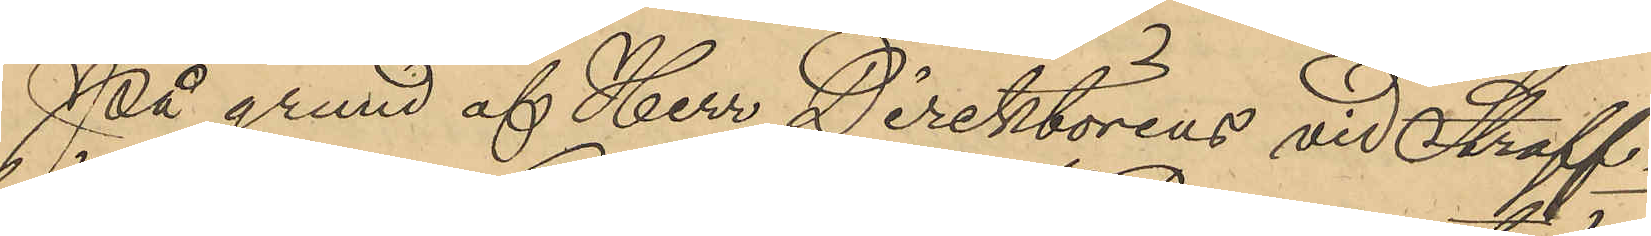På grund af Herr Direktörens vid Straff¬
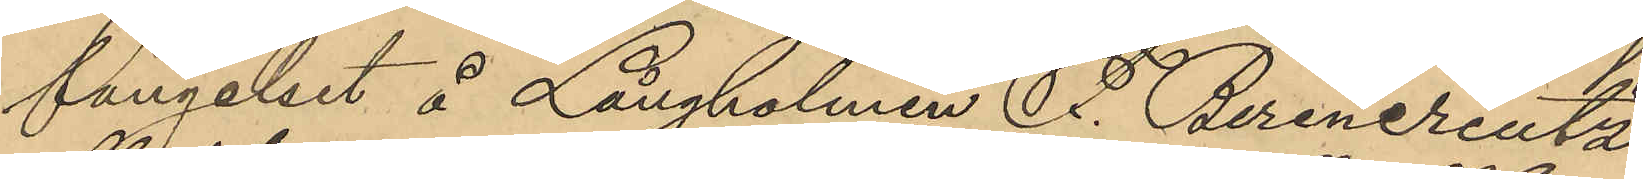fängelset å Långholmen F. Berencreutz'
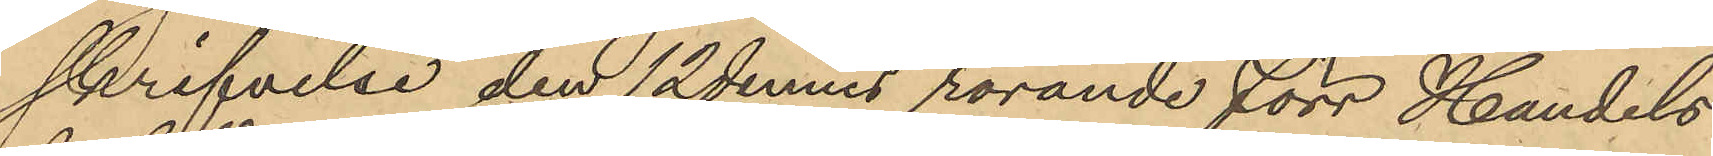skrifvelse den 12 dennes rörande förr Handels¬
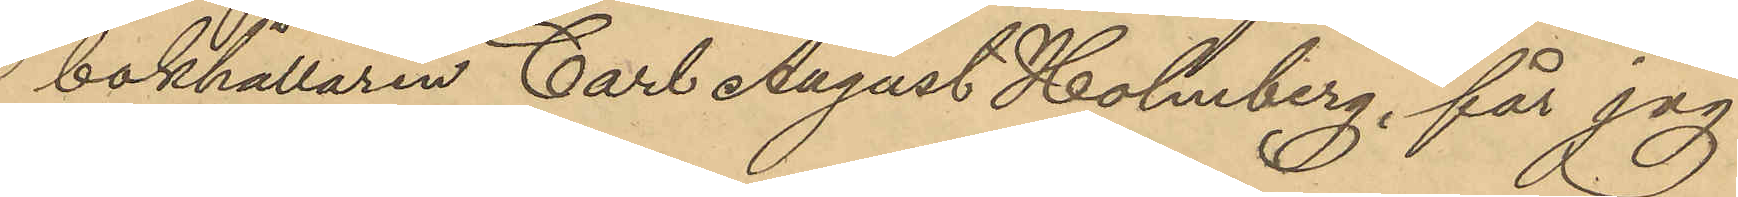bokhållaren Carl August Holmberg, får jag
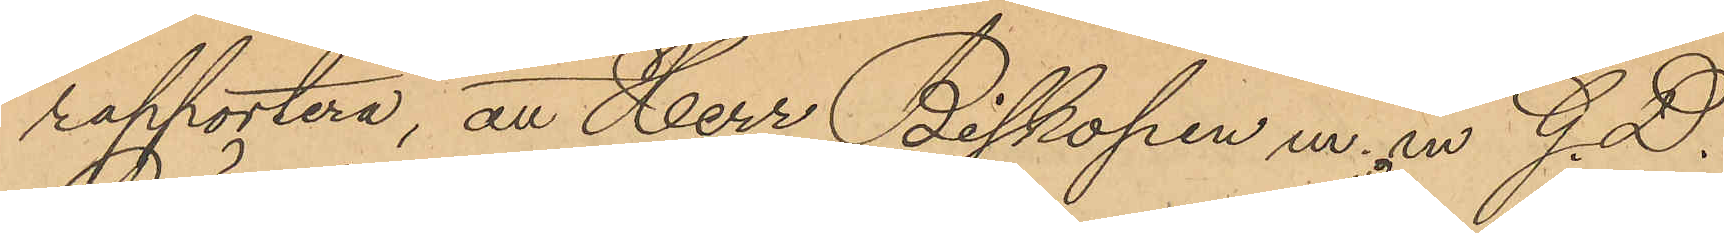rapportera, att Herr Biskopen m. m. G. D.
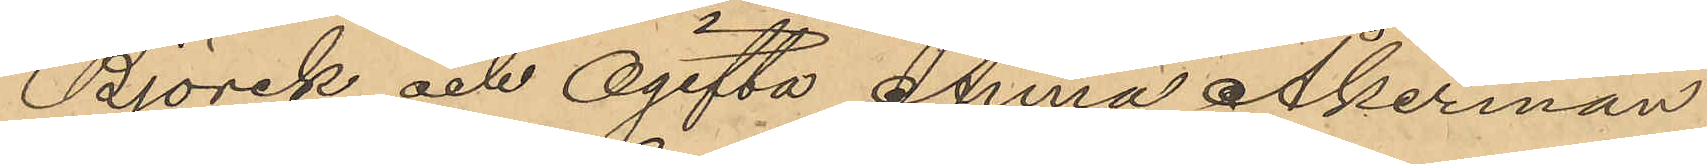Björck och Ogifta Anna Åkerman
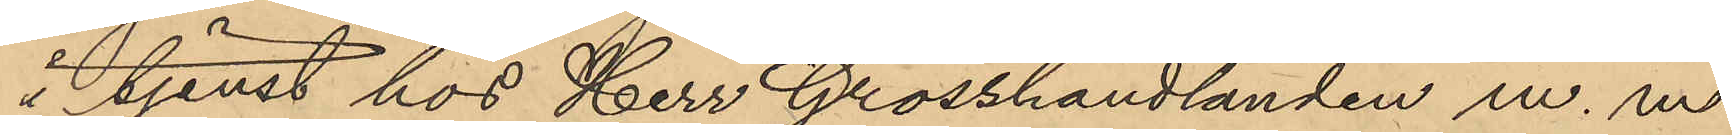i tjenst hos Herr Grosshandlanden m. m. 
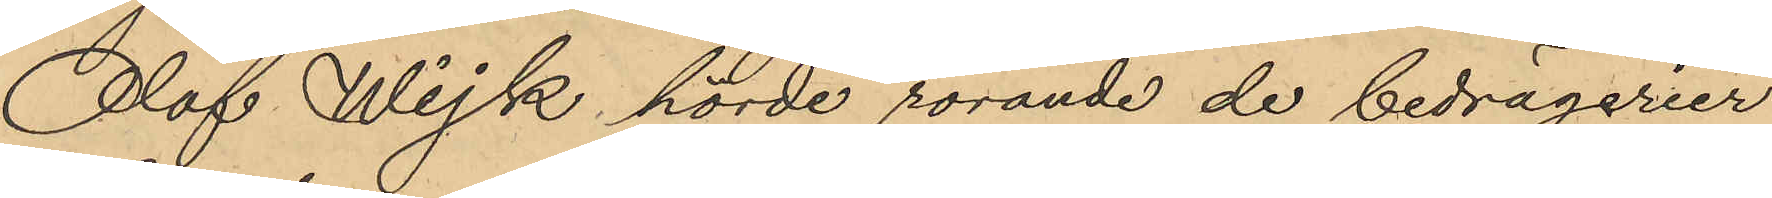Olof Wijk hörde rörande de bedrägerier
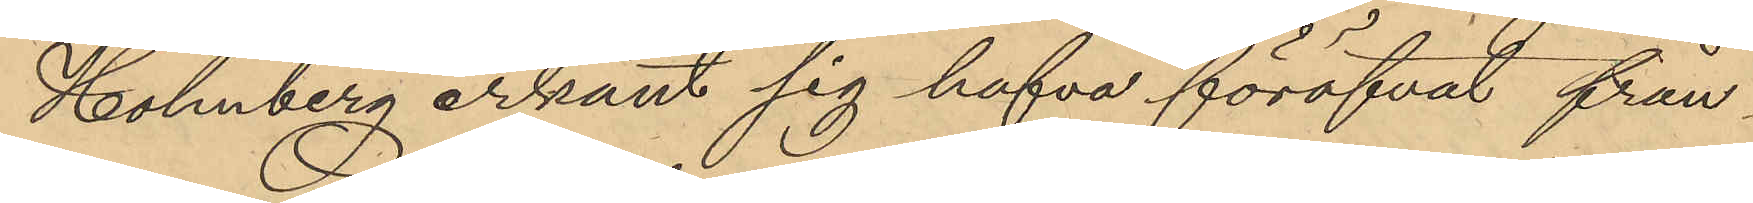Holmberg erkänt sig hafva föröfvat från
